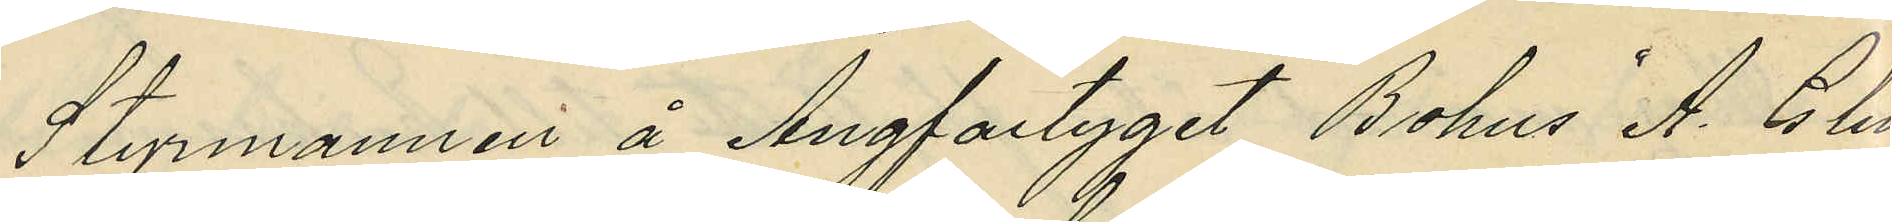Styrmannen å Ångfartyget "Bohus" A. G. Lind¬
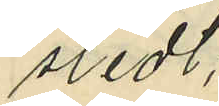stedt;
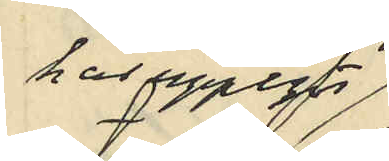har uppgifvit
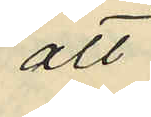att
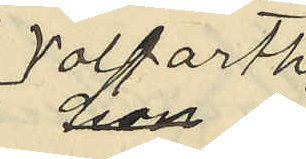Volfarth
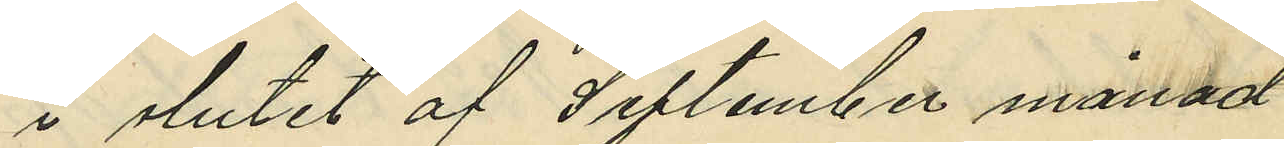i slutet af September månad 
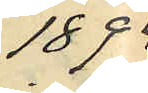1894
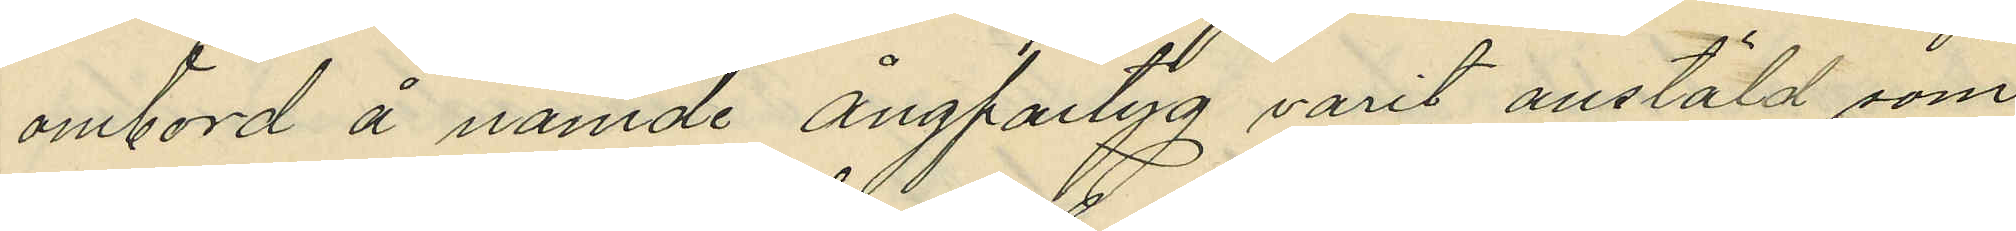ombord å nämnde ångfartyg varit anstäld som
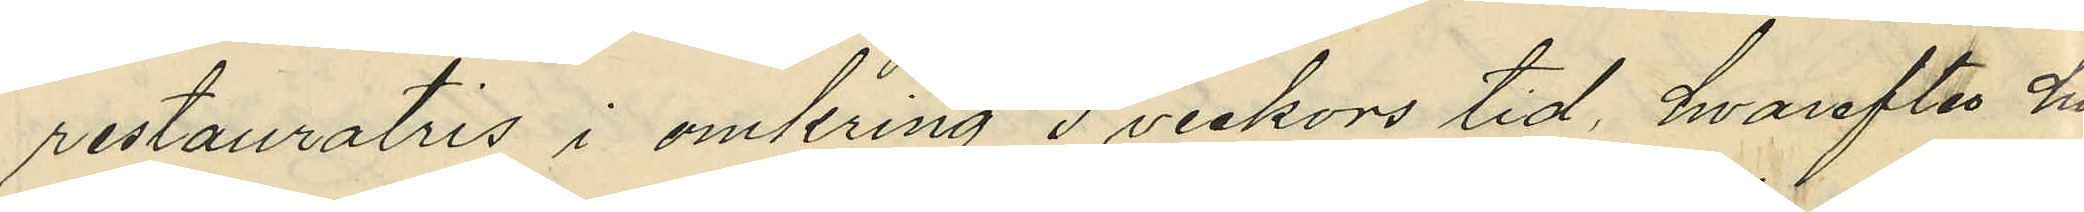restauratris i omkring 3 veckors tid, hvarefter hon
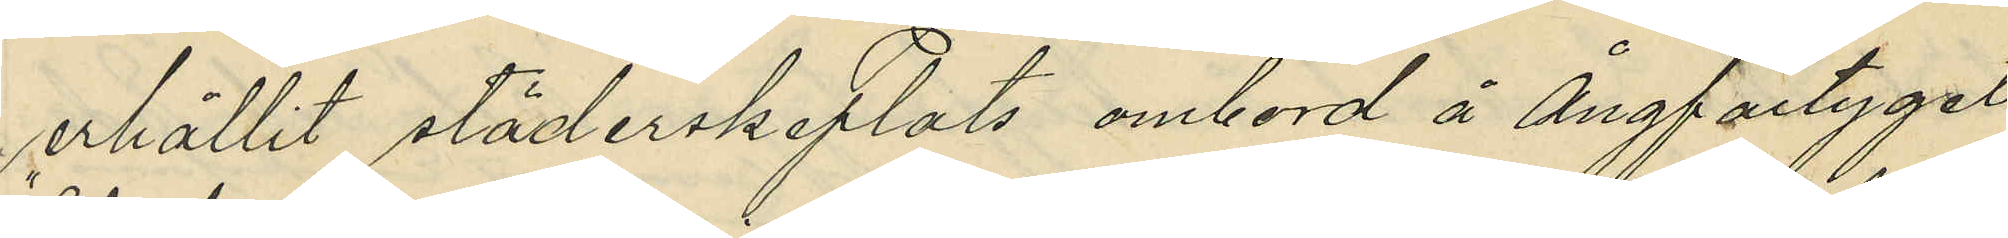erhållit städerskeplats ombord å Ångfartyget
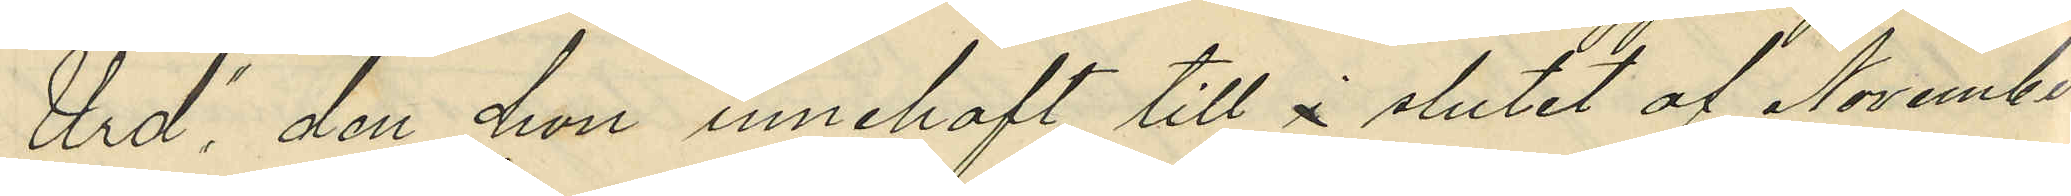"Urd", den hon innehaft till i slutet af November
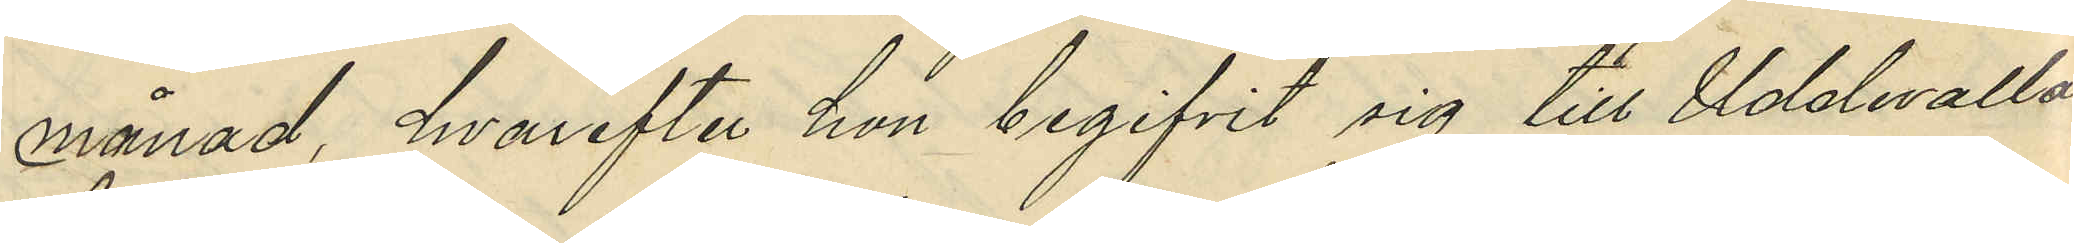månad, hvarefter hon begifvit sig till Uddevalla.
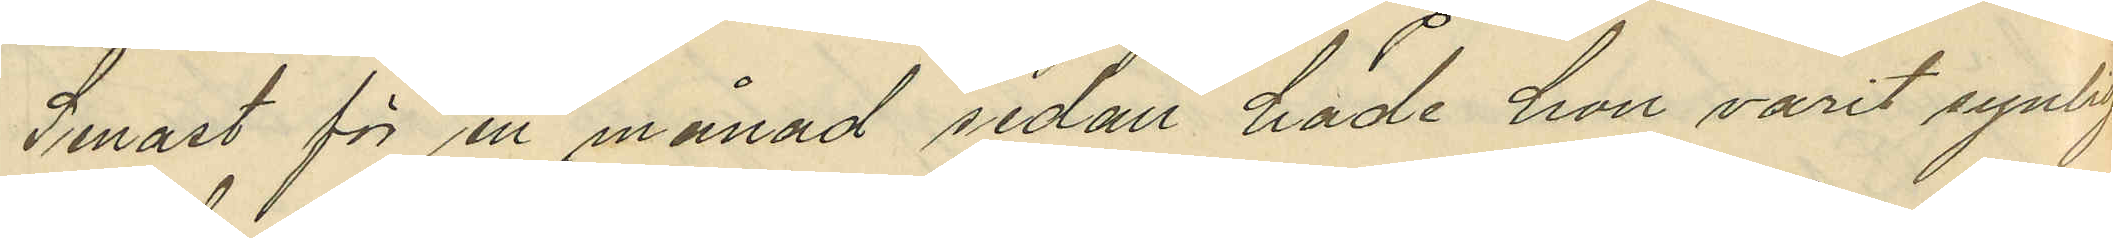Senast för en månad sedan hade hon varit synlig
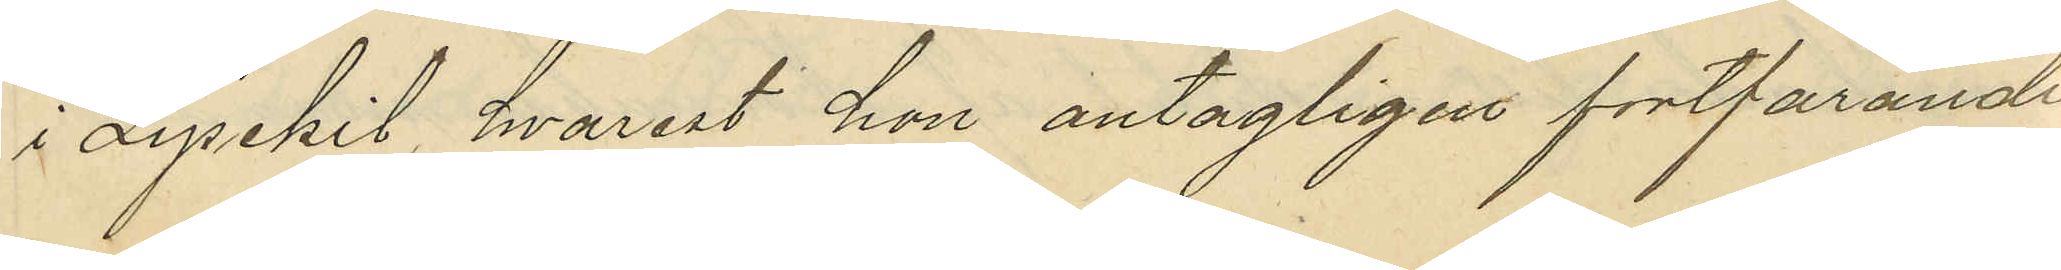i Lysekil, hvarest hon antagligen fortfarande
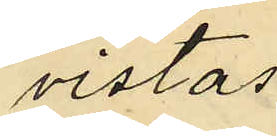vistas.
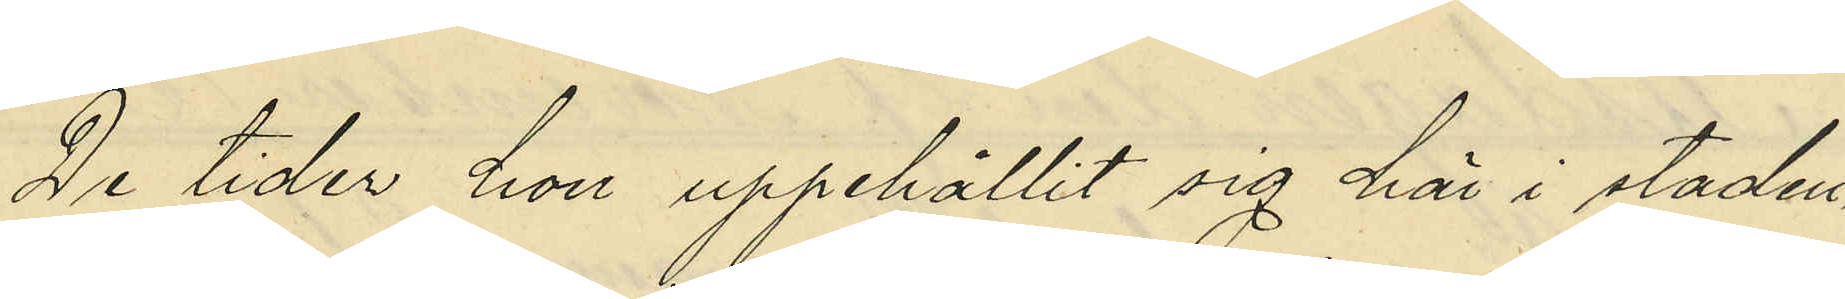De tider hon uppehållit sig här i staden
